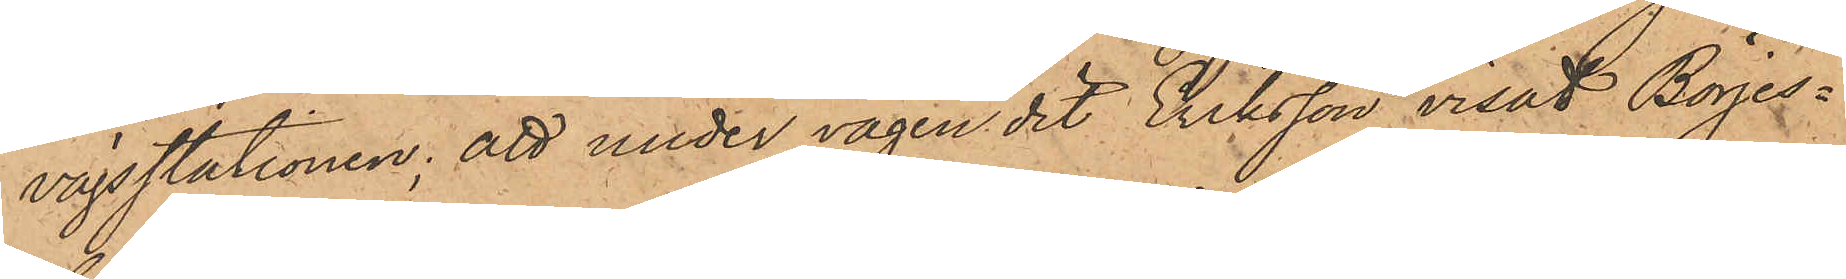vägsstationen; att under vägen dit Eriksson visat Börjes¬
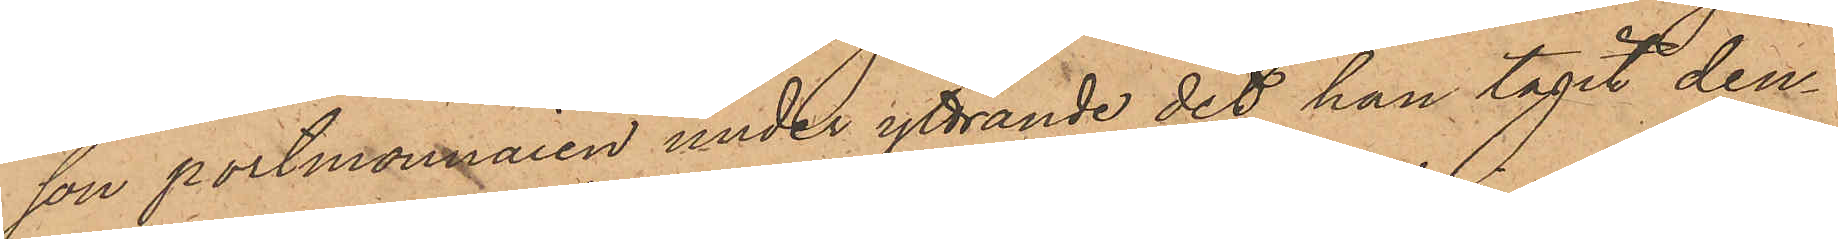son portmonnaien under yttrande det han tagit den¬
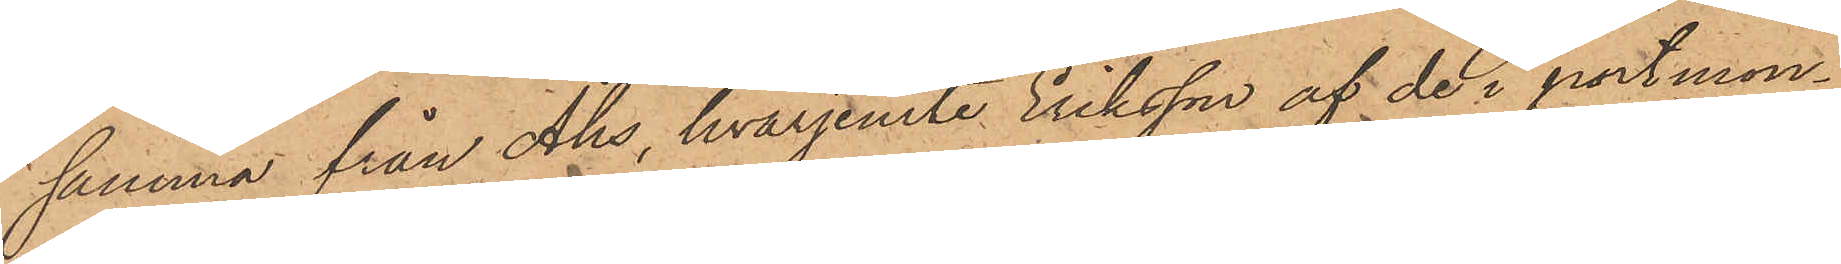samma från Åhs, hvarjemte Eriksson af de i portmon¬
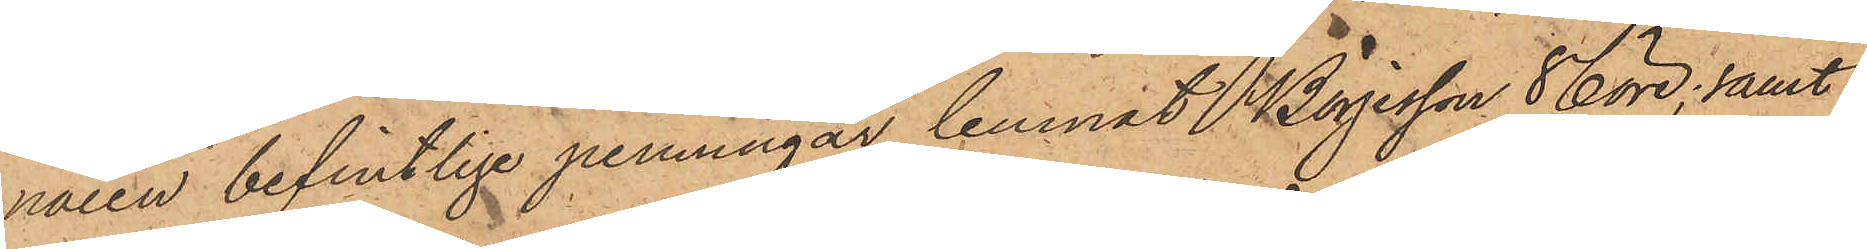naren befintliga penningar lemnat Börjesson 86 öre; samt
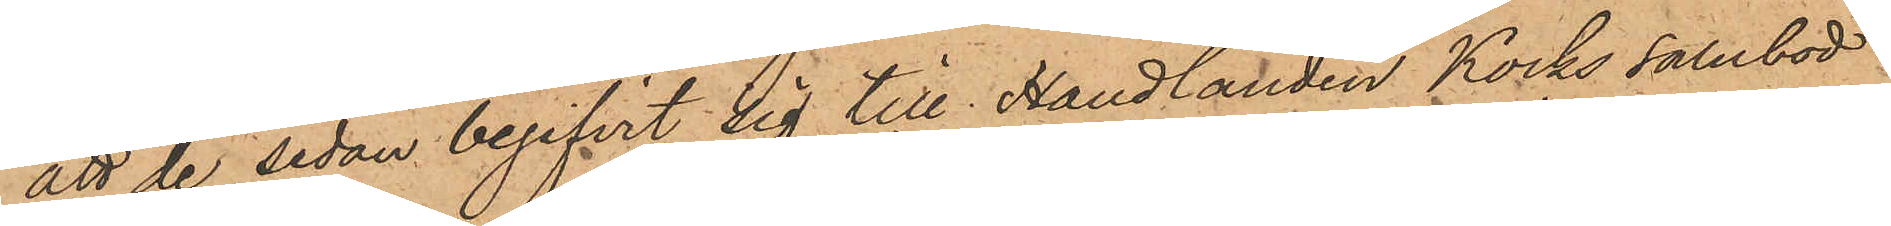att de sedan begifvit sig till Handlanden Kocks Salubod
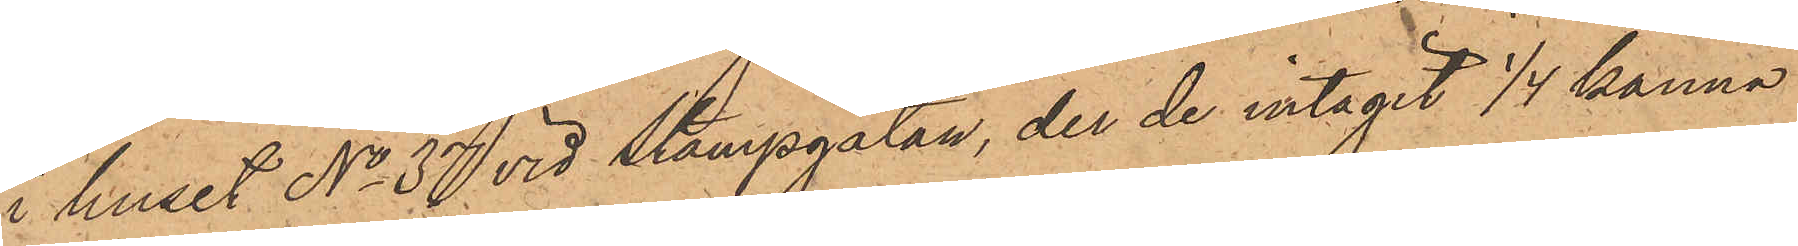i huset No 37 vid Stampgatan, der de intagit 1/4 kanna
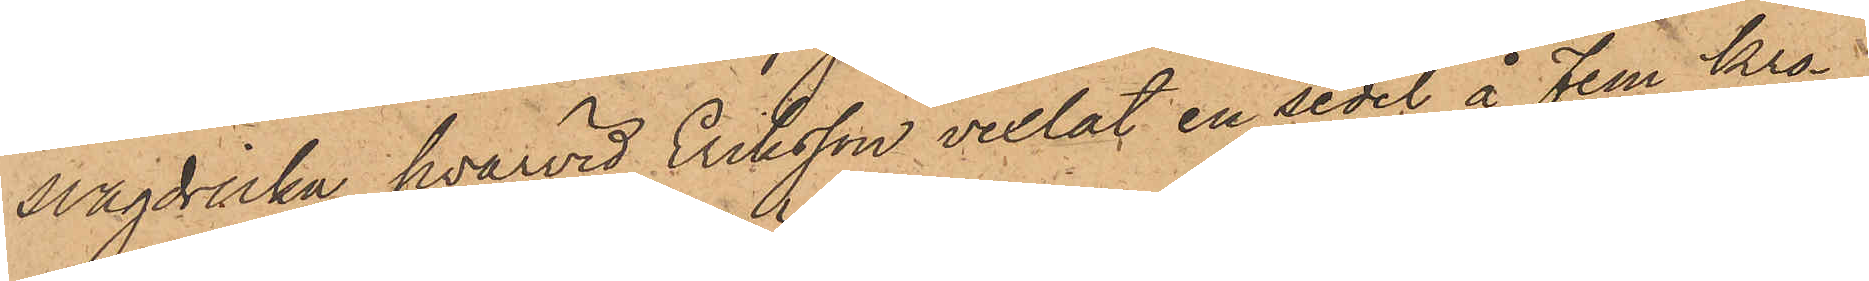svagdricka, hvarvid Eriksson vexlat en sedel å Fem Kro¬
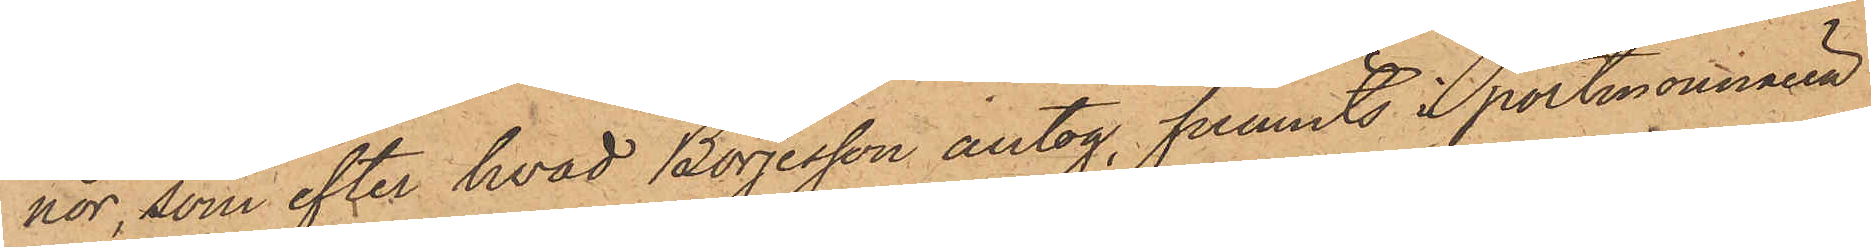nor, som efter hvad Börjesson antog, funnits i portmonnaien
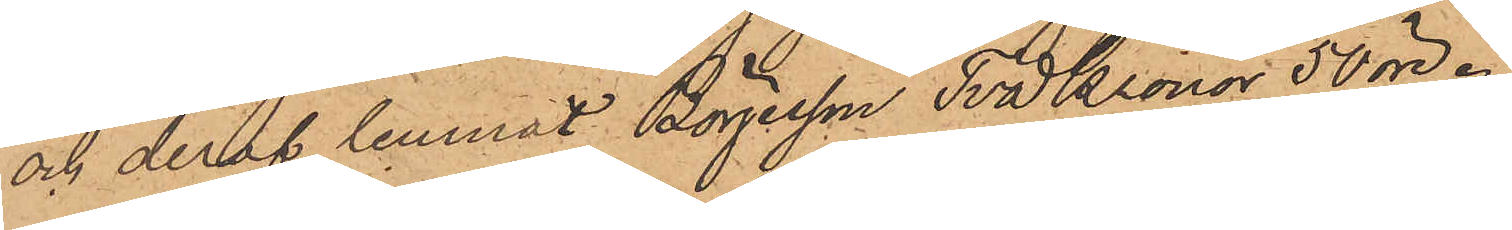och deraf lemnat Börjesson Två Kronor 50 öre.
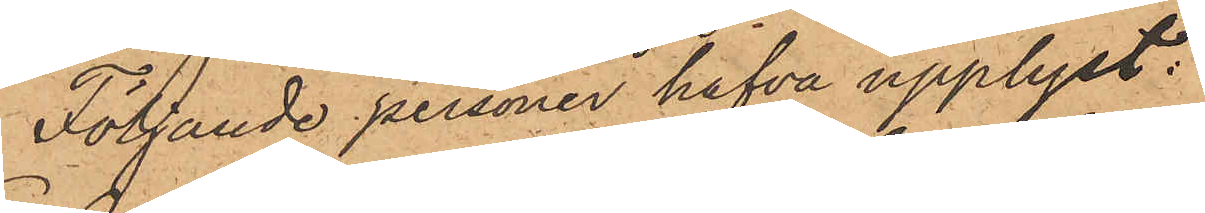Följande personer hafva upplyst:
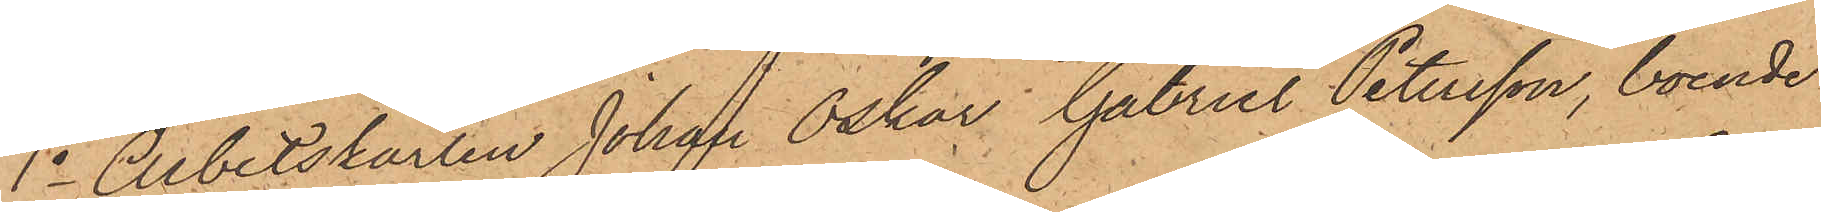1o Arbetskarlen Johan Oskar Gabriel Petersson, boende
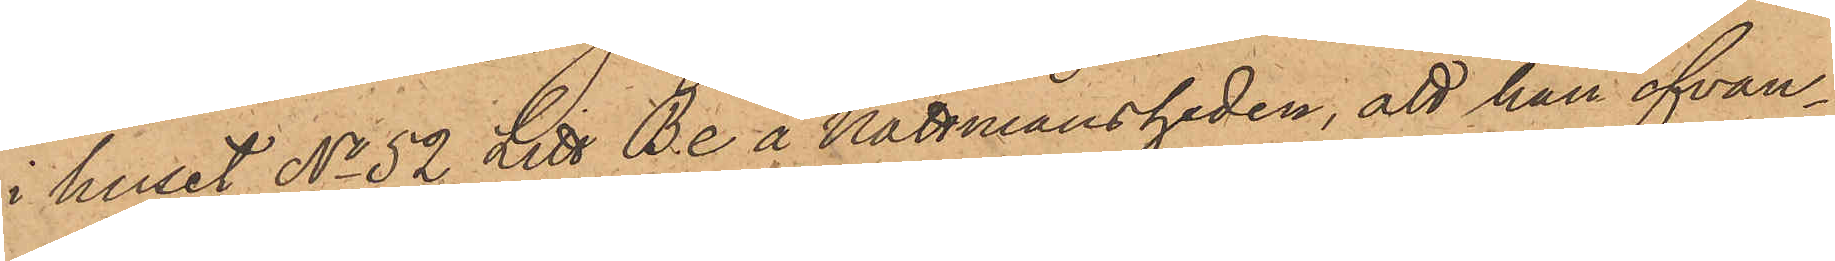i huset No 52 Litt Be å Nattmansheden, att han ofvan¬
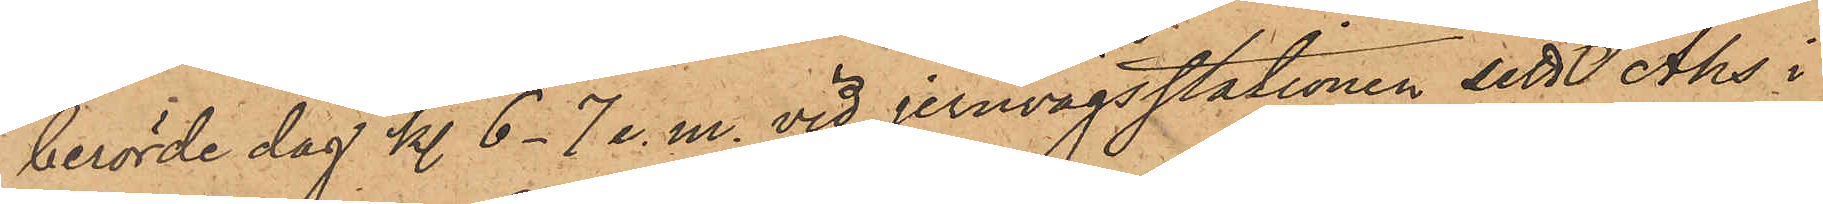berörde dag kl. 6-7 e. m. vid jernvägsstationen sett Åhs i
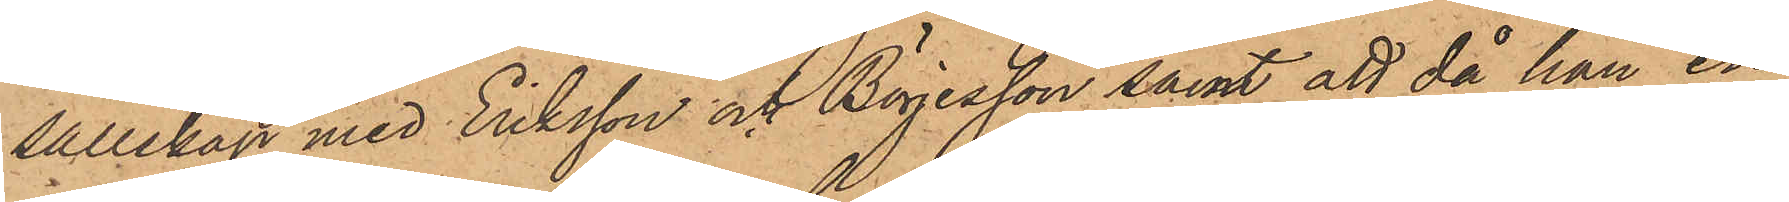sällskap med Eriksson och Börjesson samt att då han en
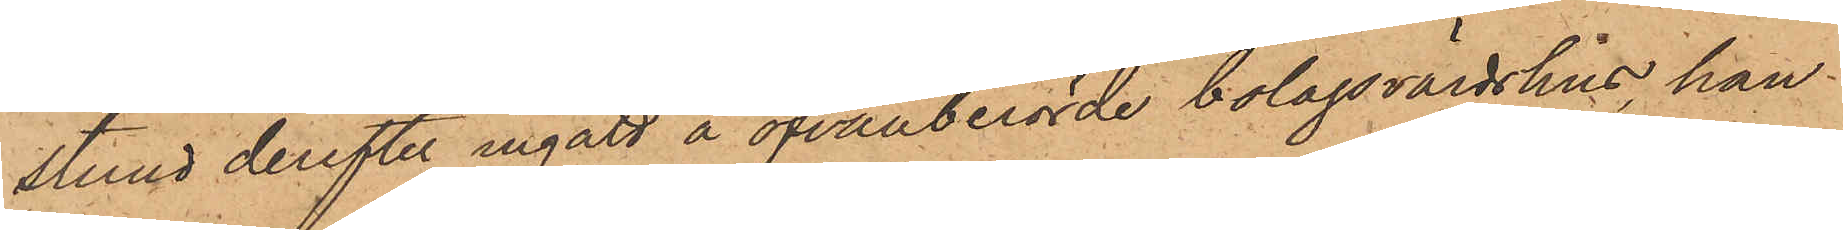stund derefter ingått å ofvanberörde bolagsvärdshus, han
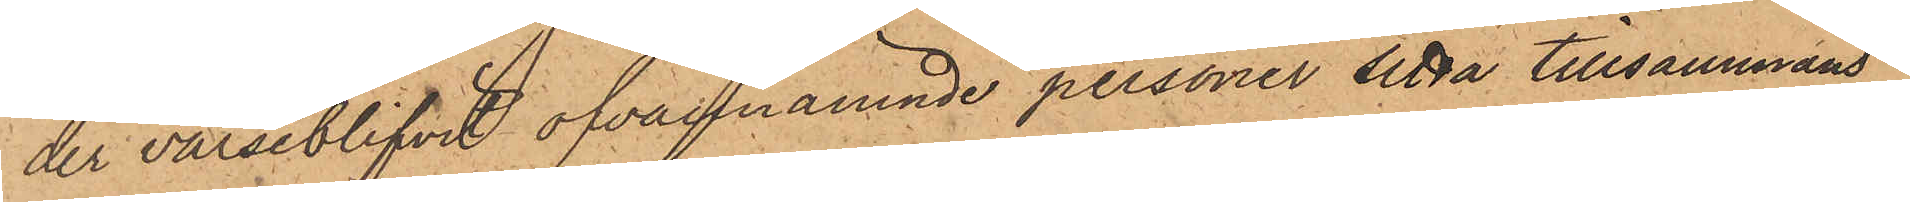der varseblifvit ofvannämnde personer sitta tillsammans
